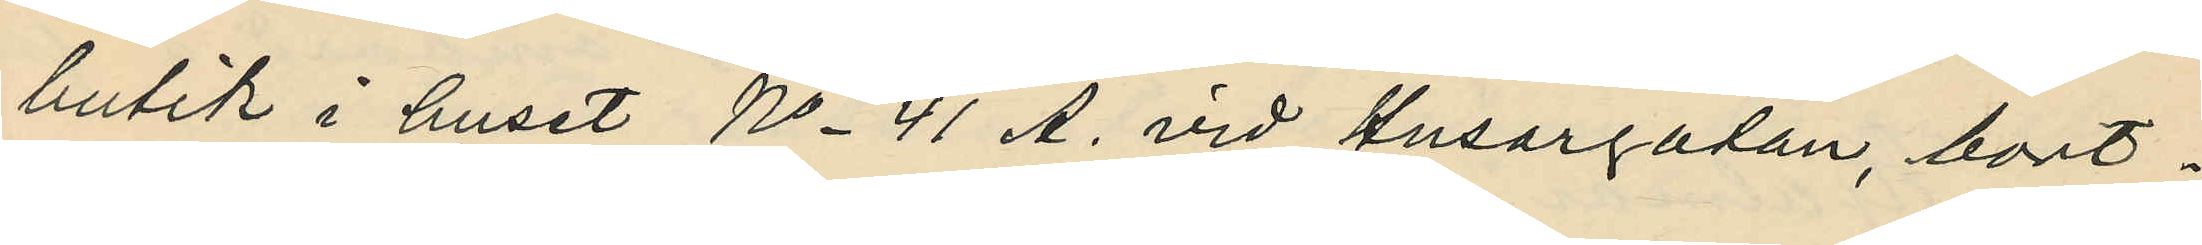butik i huset No 41 A. vid Husargatan, bort¬
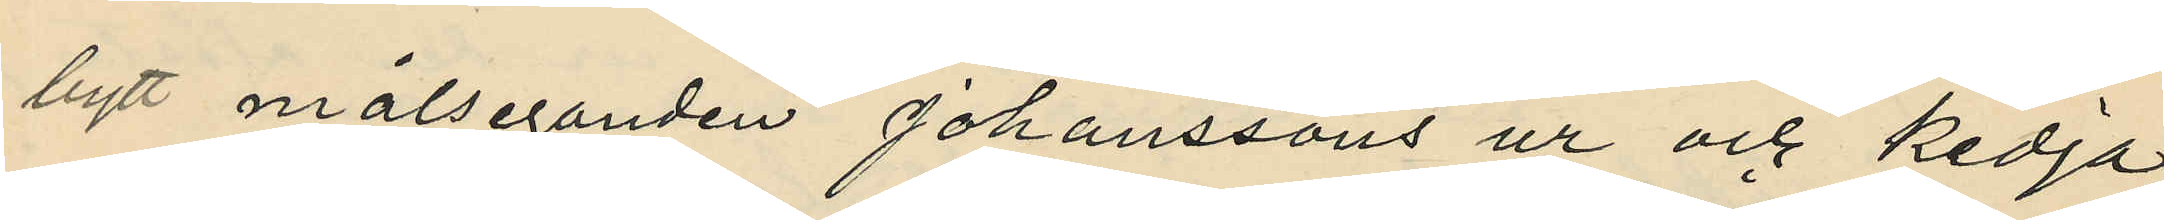bytt målseganden Johanssons ur och kedja
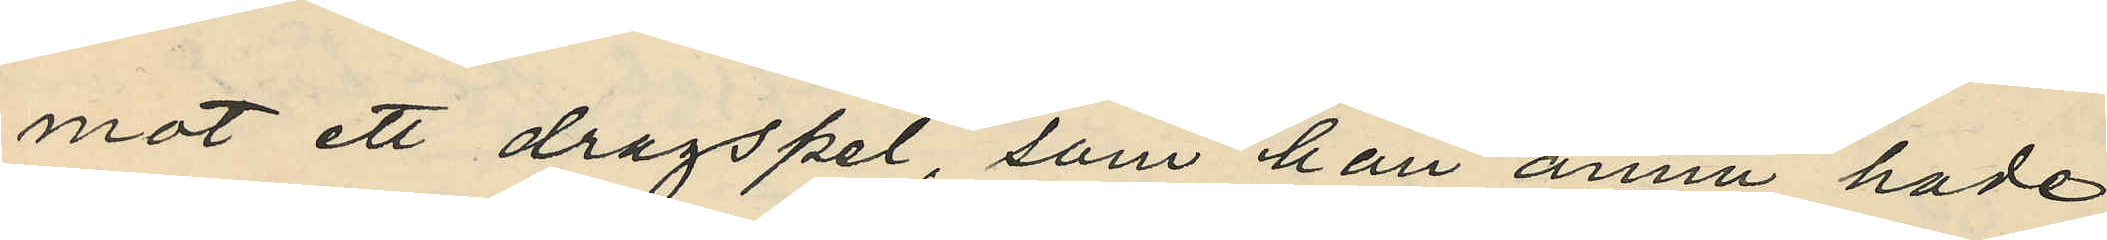mot ett dragspel, som han ännu hade
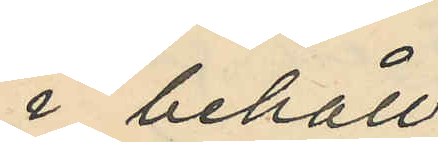i behåll.
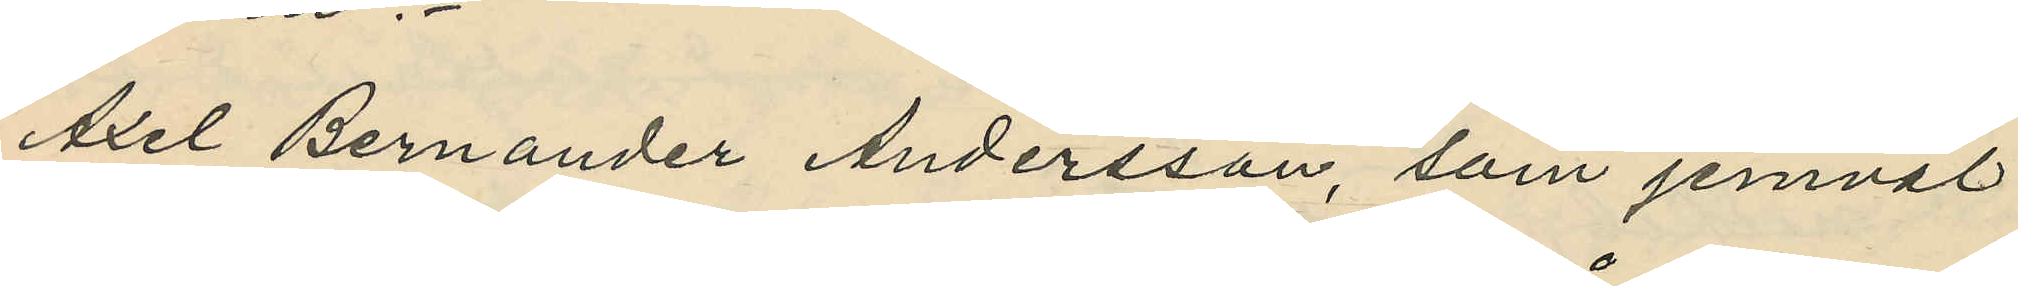Axel Bernander Andersson, som jemväl
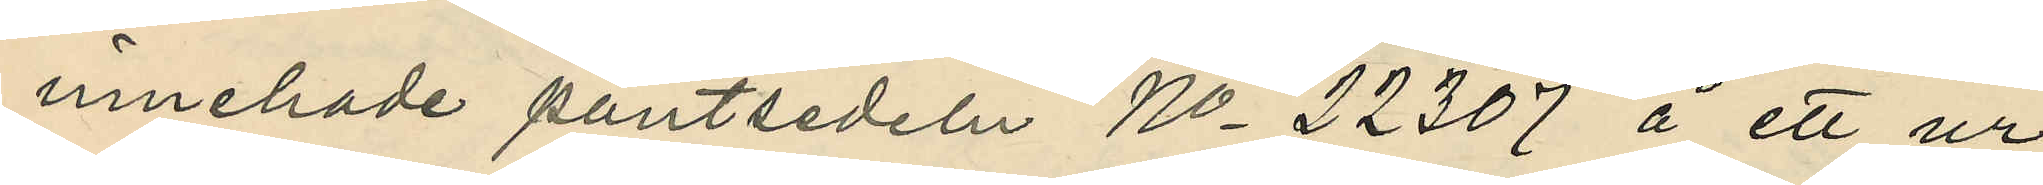innehade pantsedeln No 22307 å ett ur
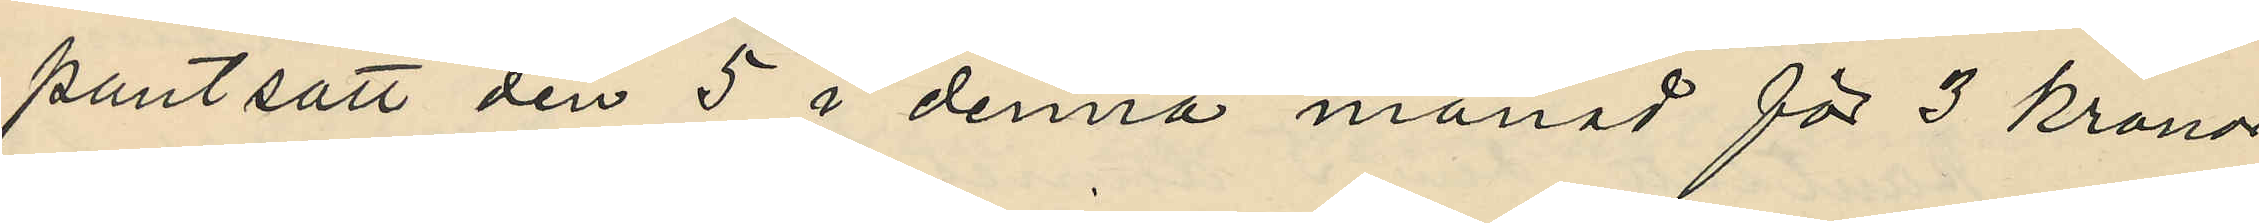pantsatt den 5 i denna månad för 3 kronor
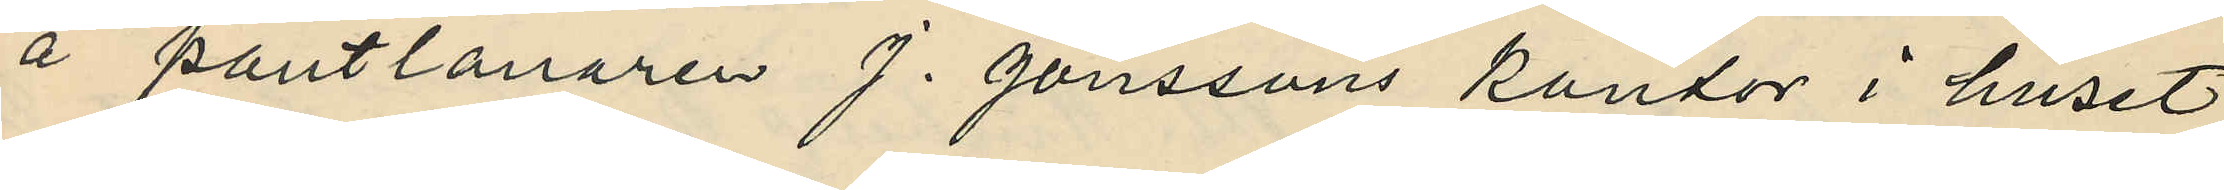å pantlånaren J. Jonssons kontor i huset
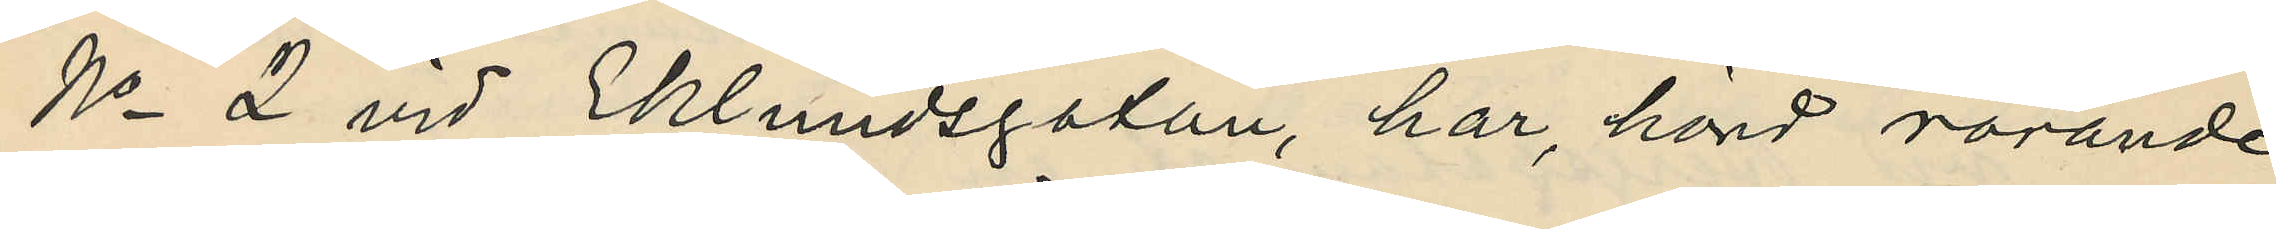No 2 vid Eklundsgatan, har, hörd rörande
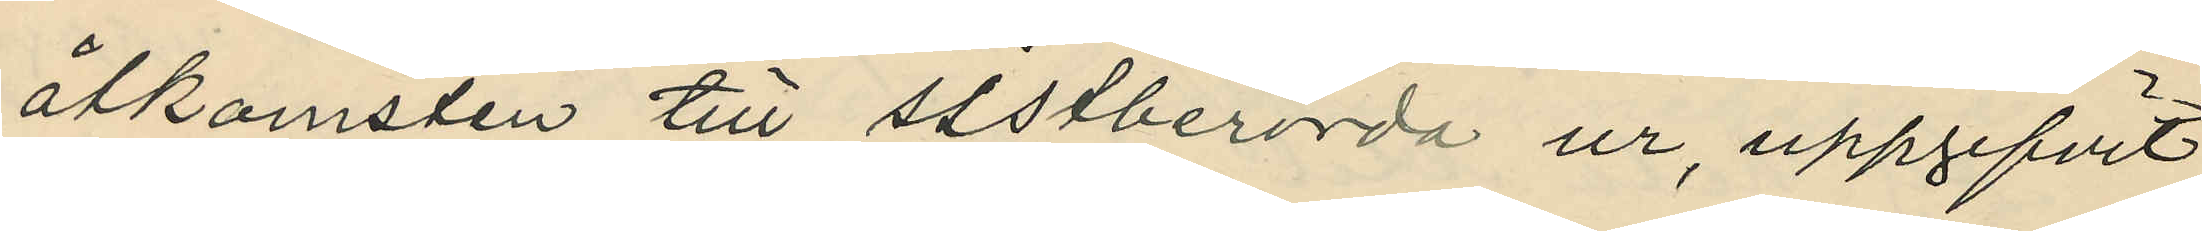åtkomsten till sistberörda ur, uppgifvit
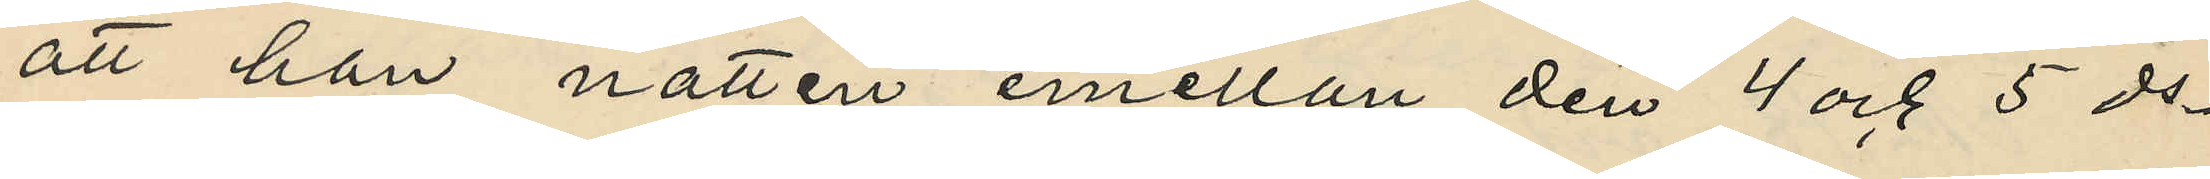att han natten emellan den 4 och 5 ds
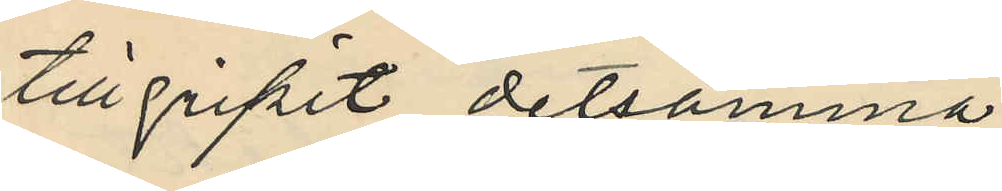tillgripit detsamma
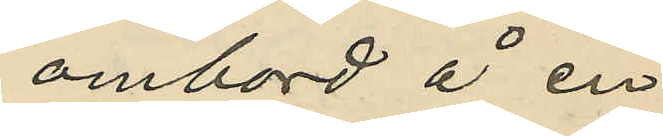ombord å en
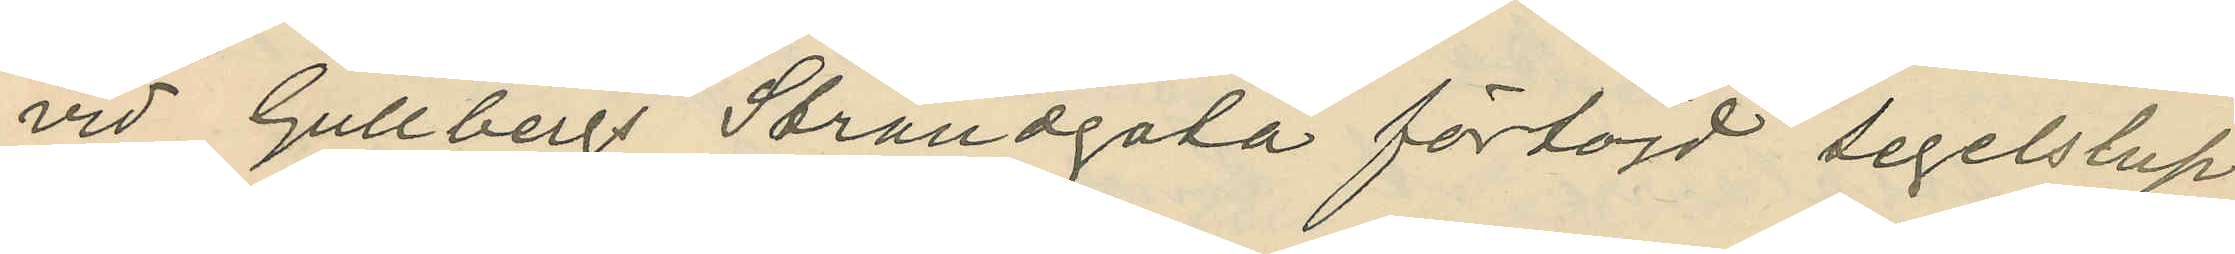vid Gullbergs Strandgata förtöjd segelslup.
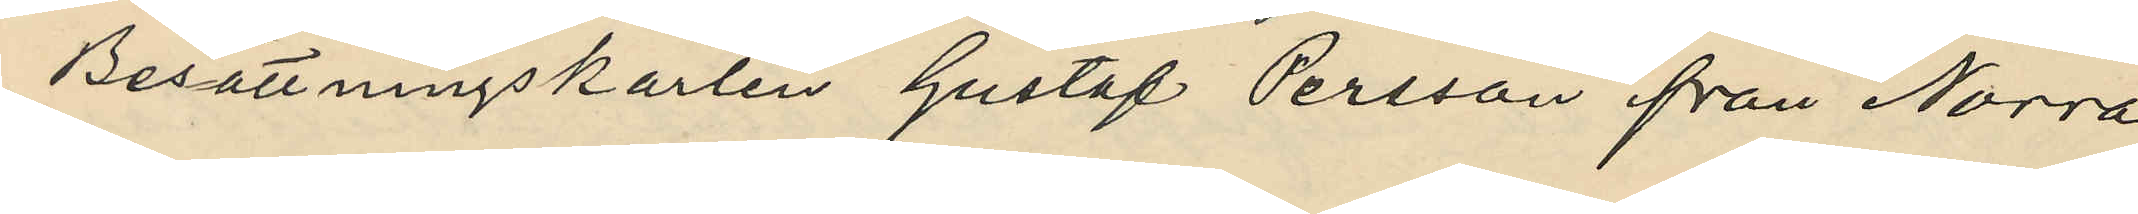Besättningskarlen Gustaf Persson från Norra
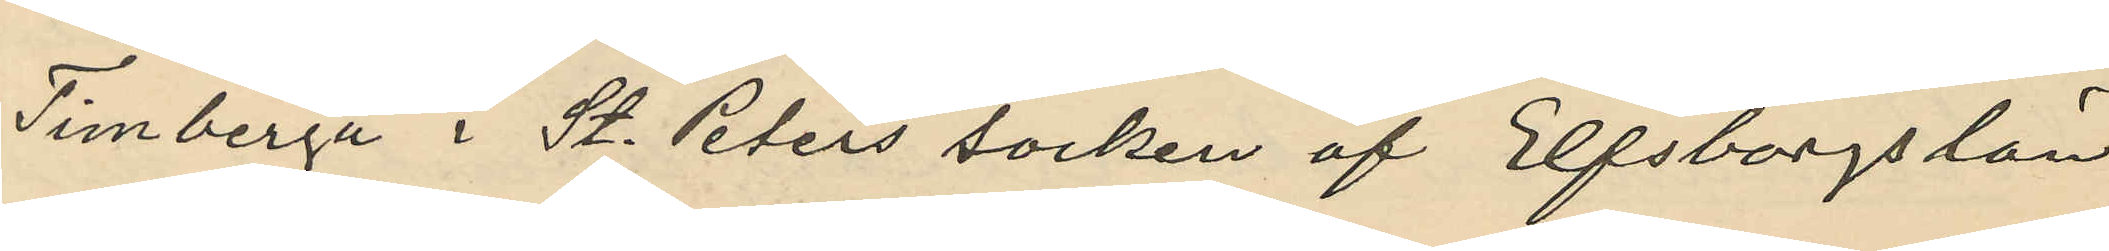Timberga i St. Peters socken af Elfsborgs län
